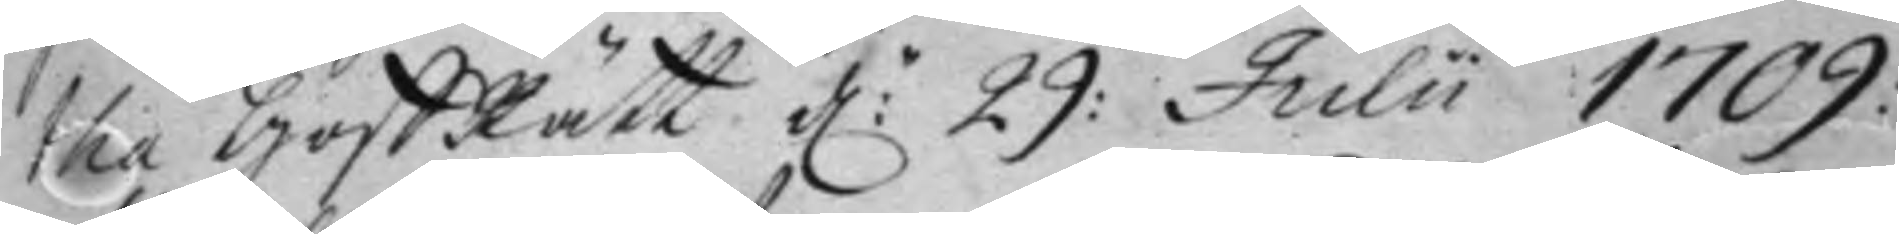tha Hoff Rätt d:n 29: Julii 1709:
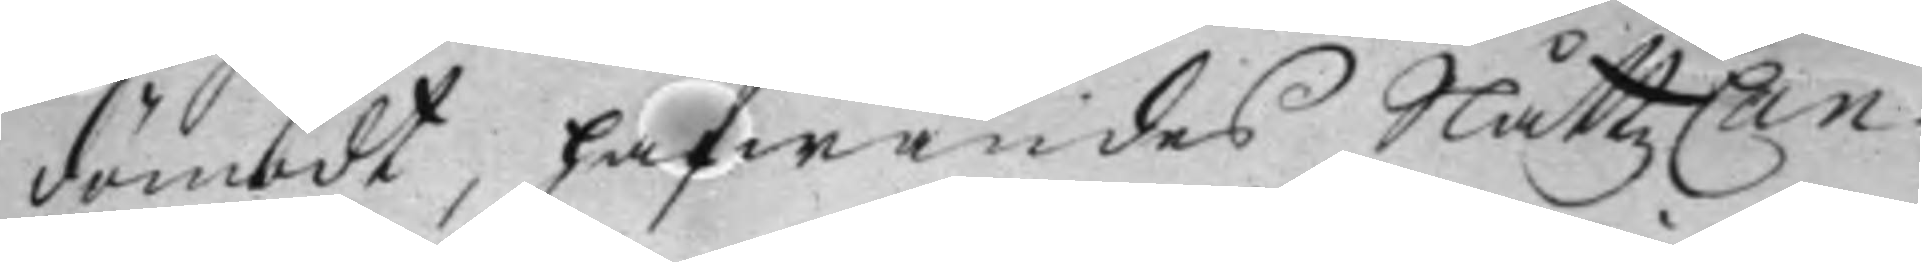dömbdt, hafwandes Slåttz Can¬
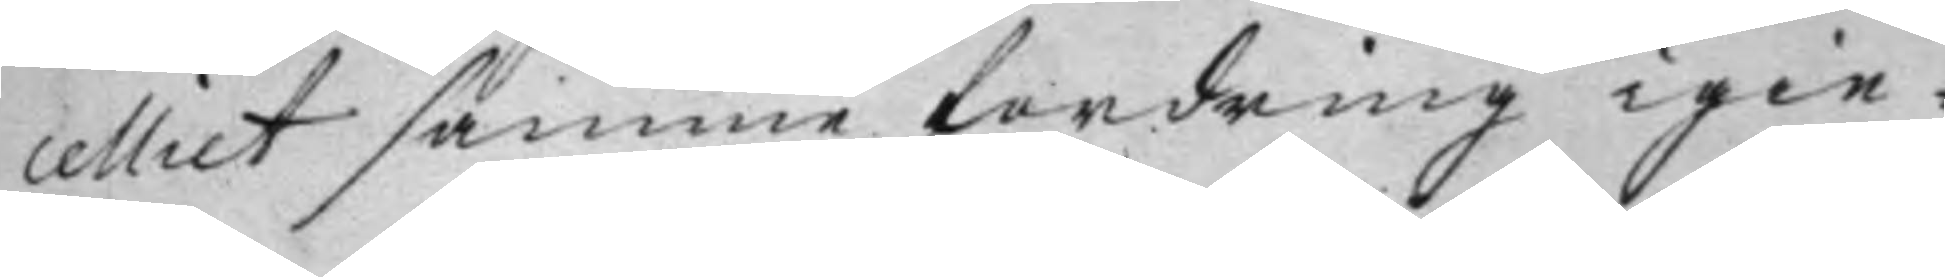celliet samma fordring igie¬
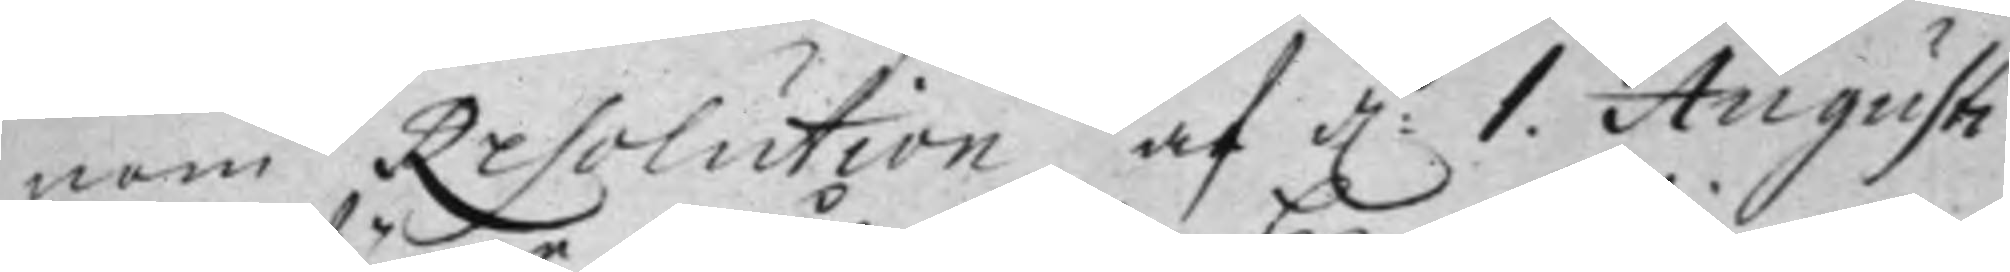nom Resolution af d: 1. Augusti
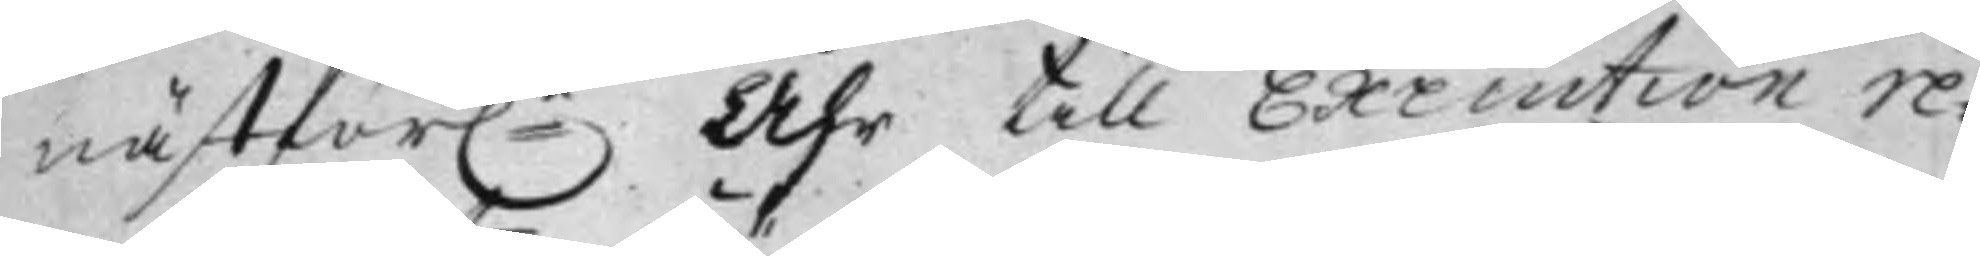nästför:e Åhr till Execution re¬
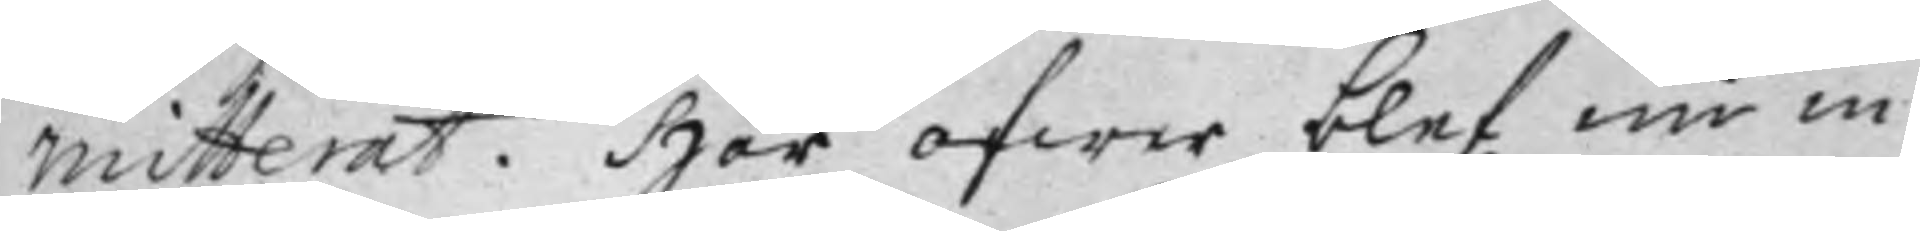mitterat. Här öfwer blef nu in¬
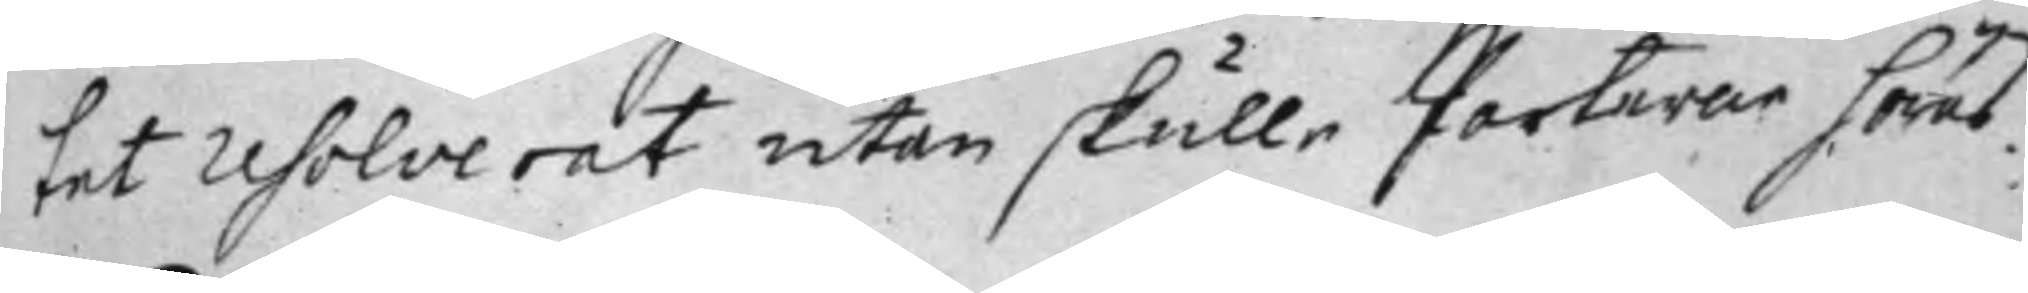tet Resolverat utan skulle Parterna höras.
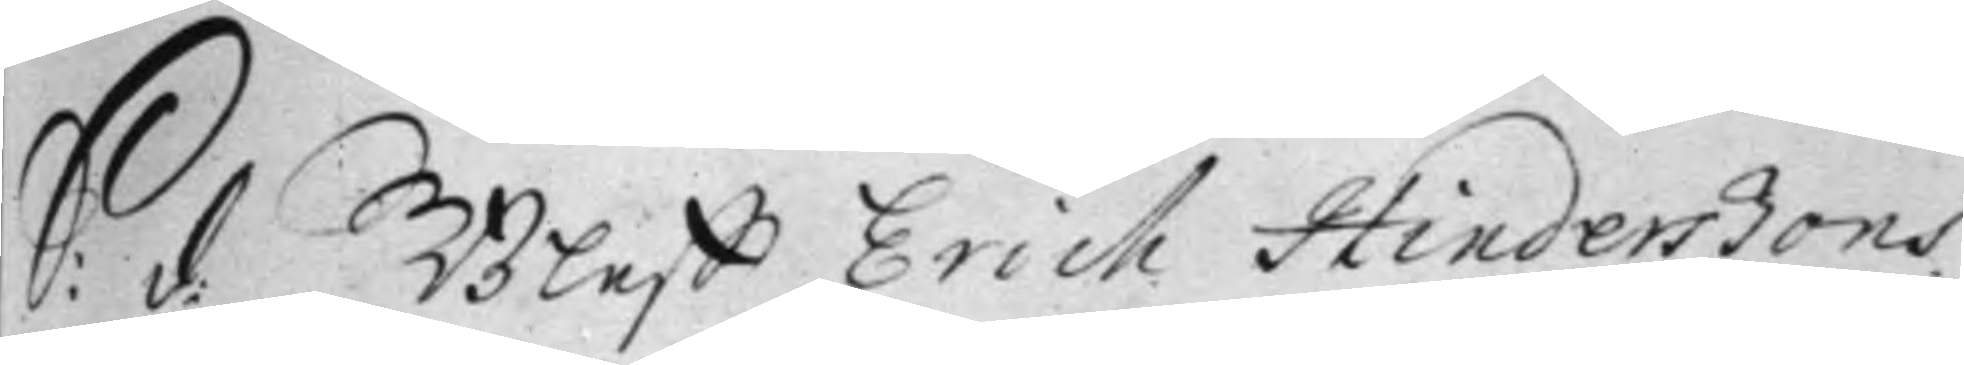S: d: Bleff Erich Hinderßons
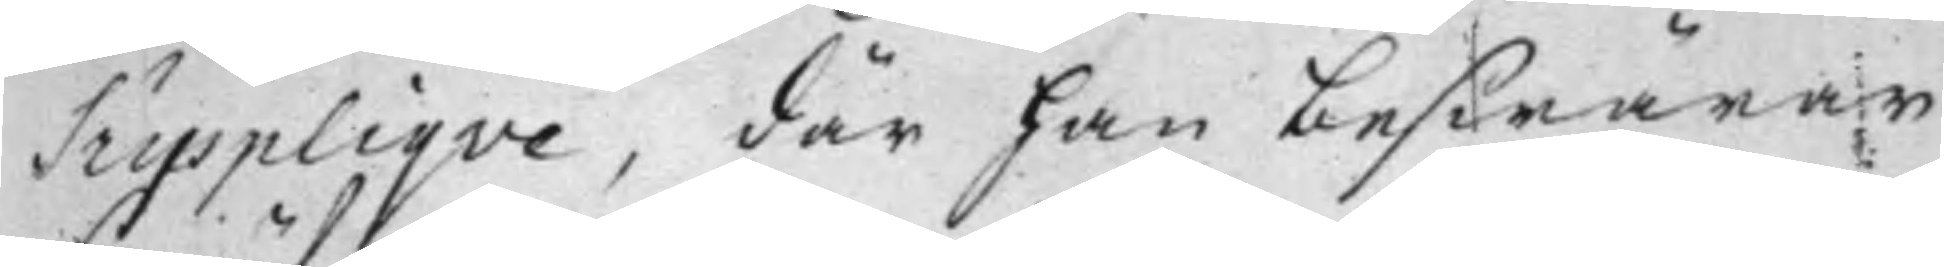Suppliqve, där han beswärar
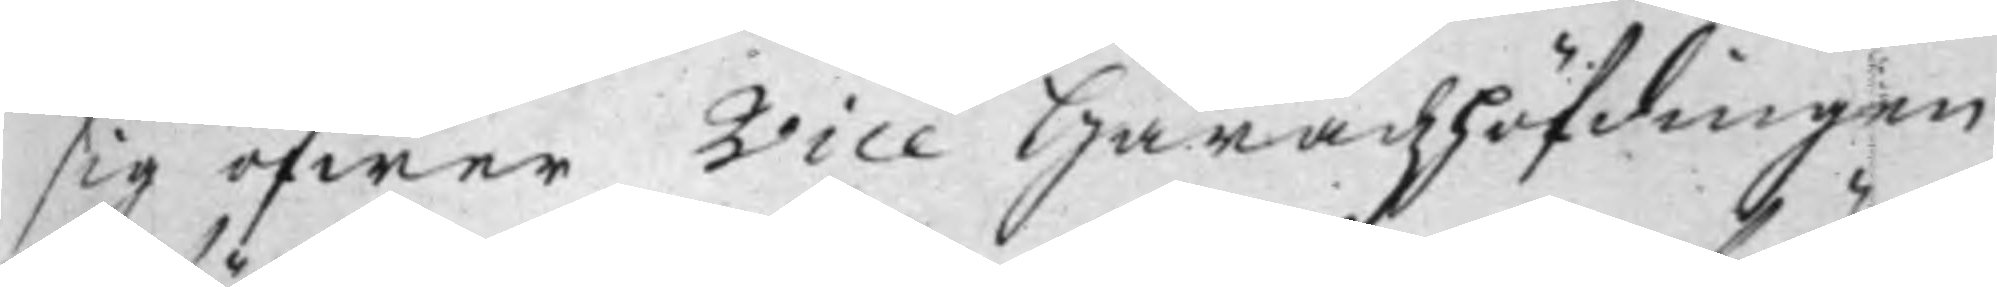sig öfwer Vice Häradzhöfdingen
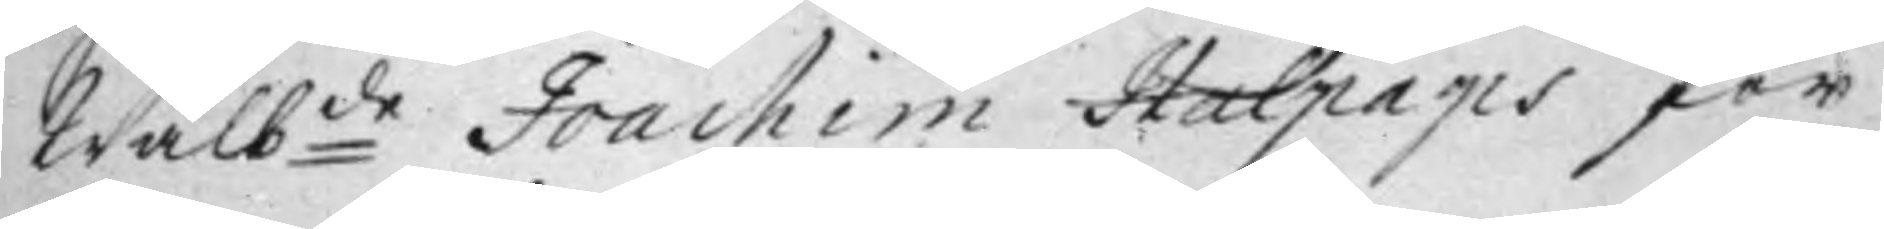Wälb:de Joachim Halpaps för¬
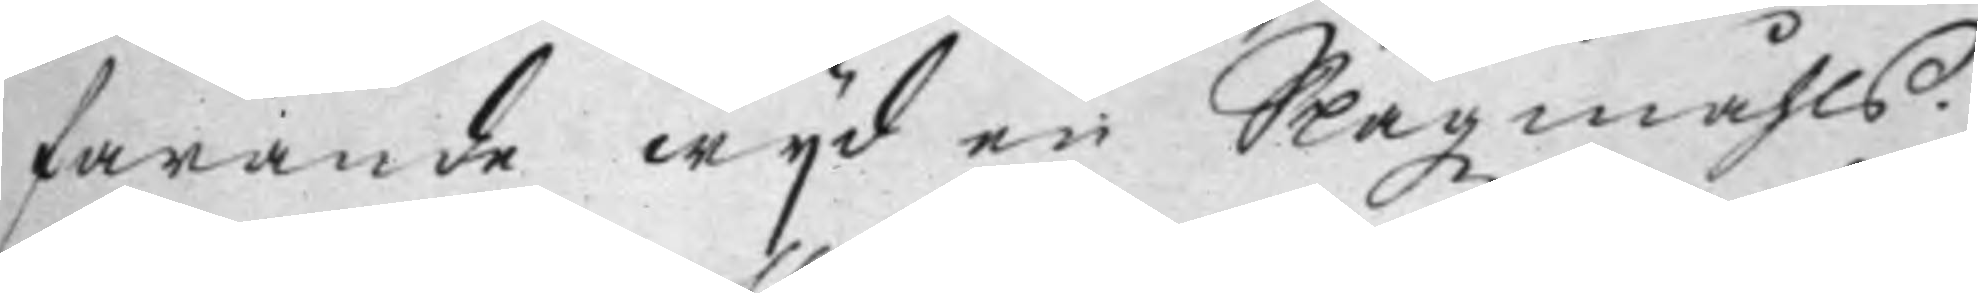farande wijd en Slagzmåhls¬
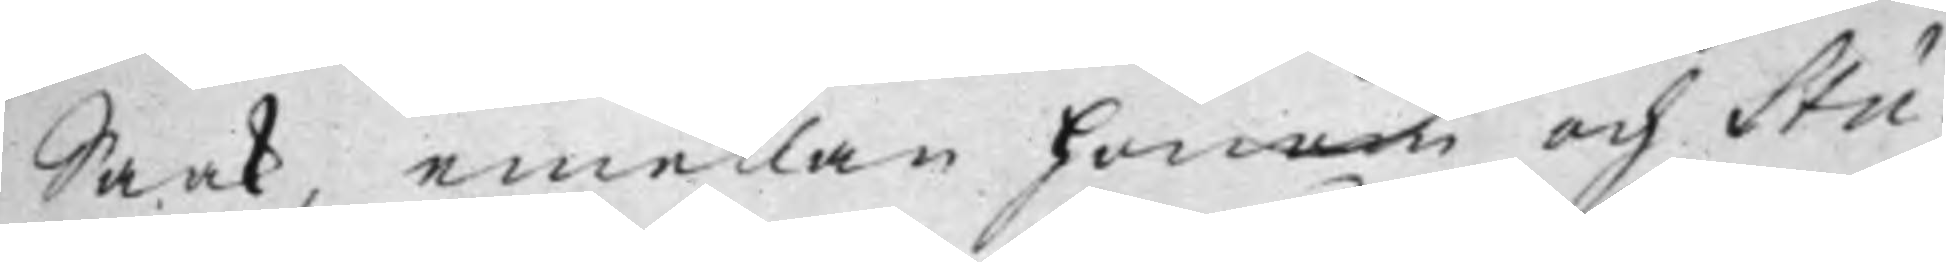Saak, emellan honom och Stu¬
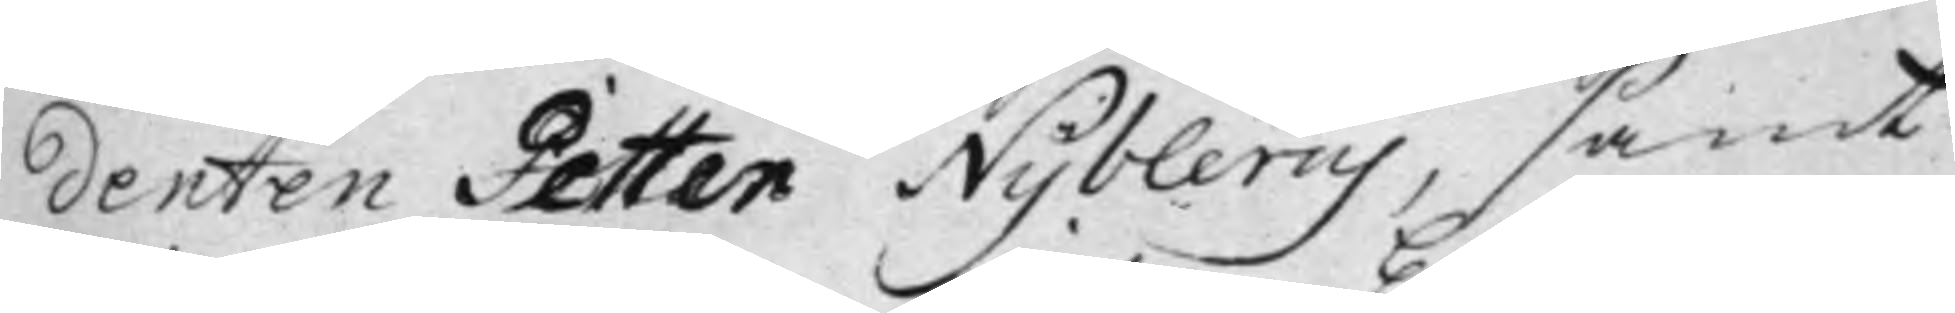denten Petter Nyblerus, samt
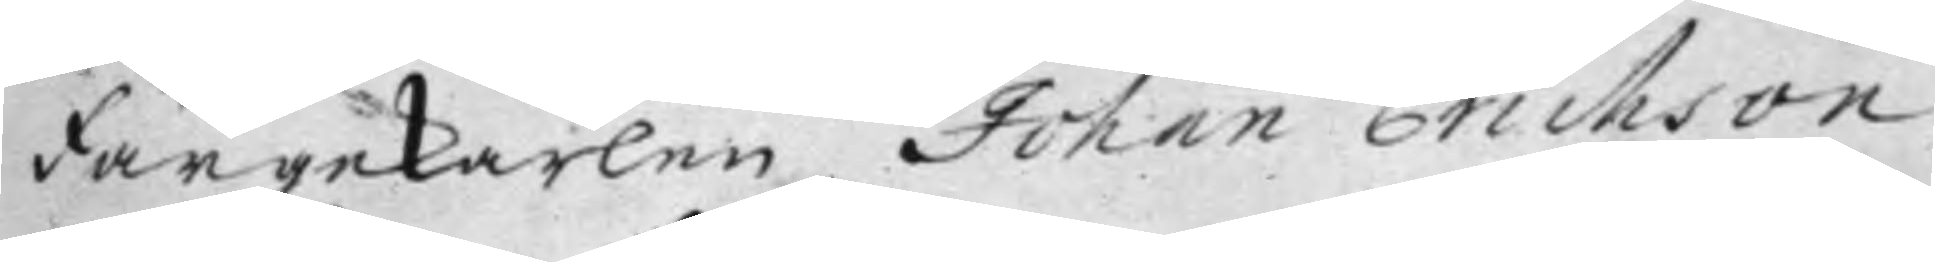Färgekarlen Johan Erichson,
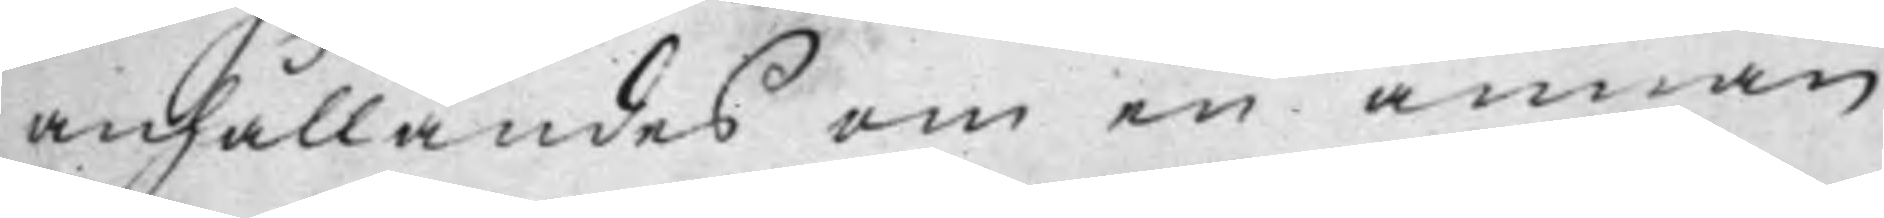anhållandes om en annan
